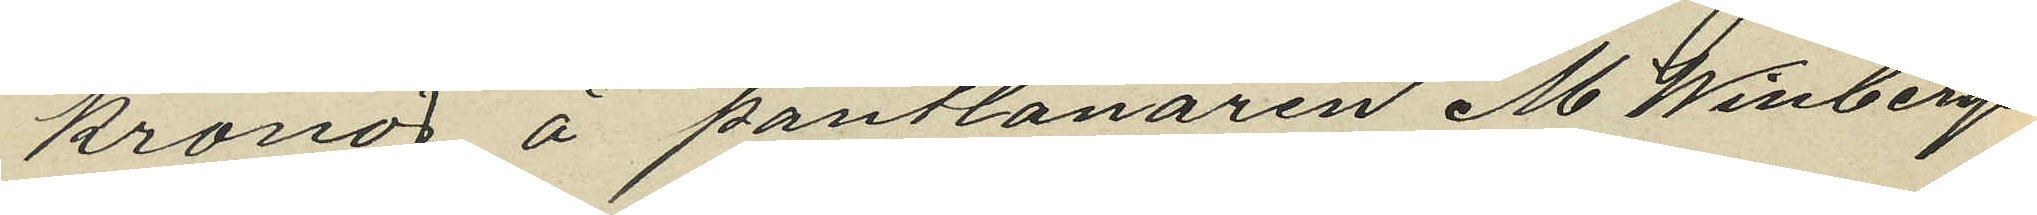kronor å pantlånaren M. Winbergs
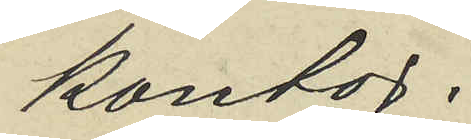kontor.
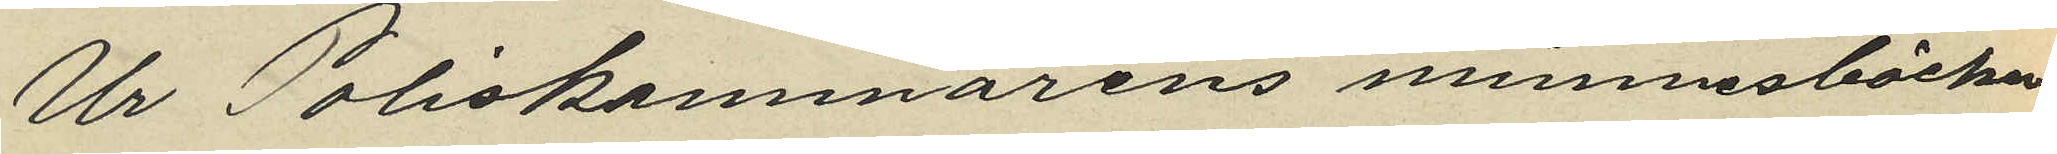Ur Poliskammarens minnesböcker
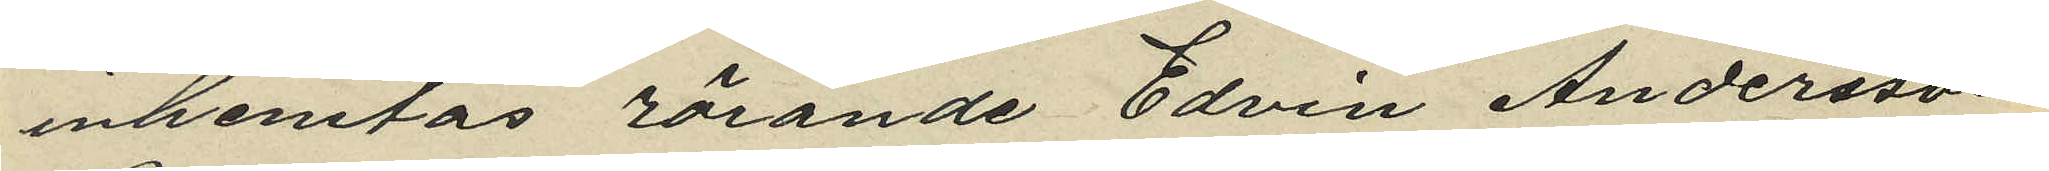inhemtas rörande Edvin Andersson
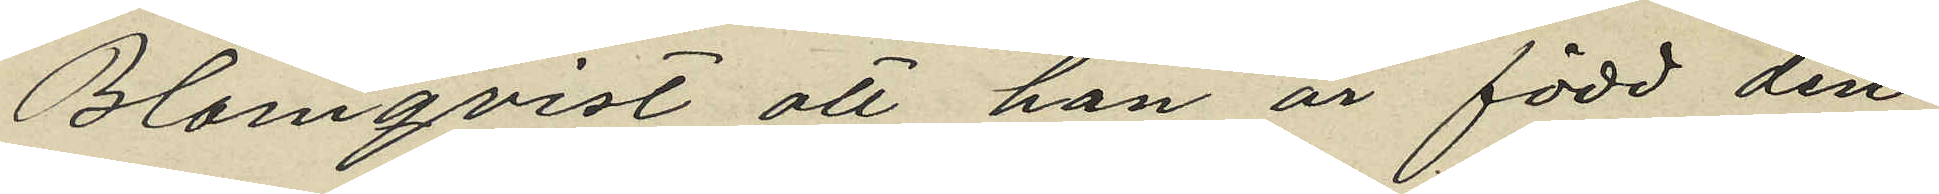Blomqvist att han är född den
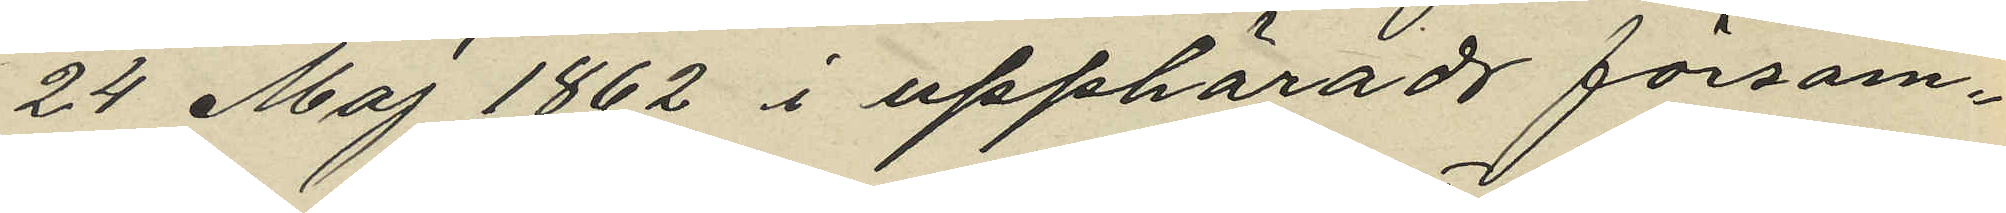24 Maj 1862 i upphärads försam¬
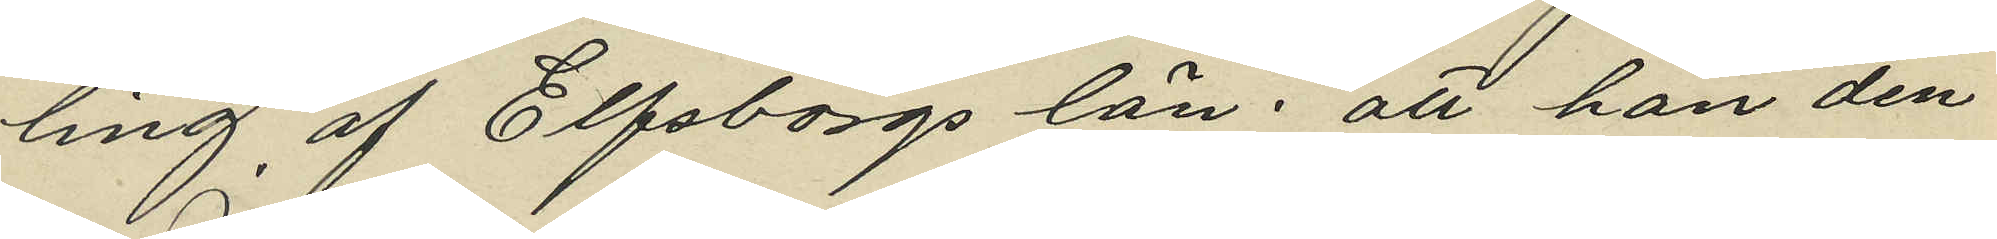ling af Elfsborgs län: att han den
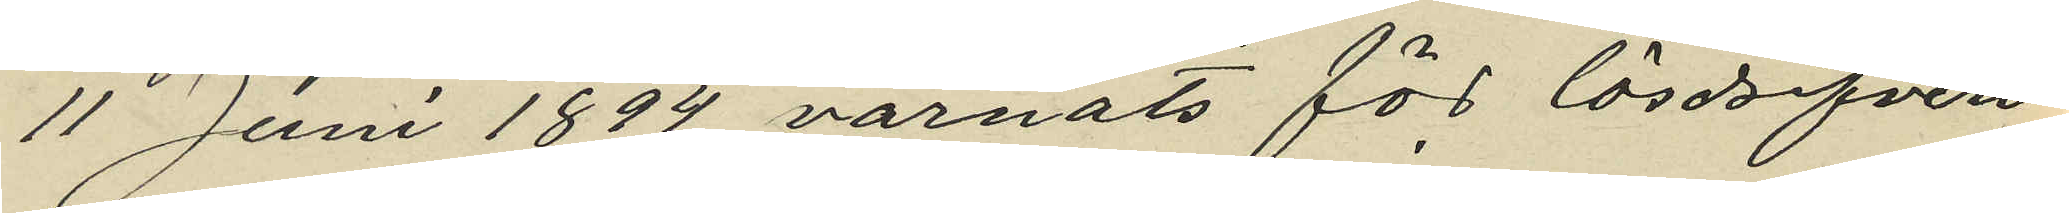11 Juni 1894 varnats för lösdrifveri¬
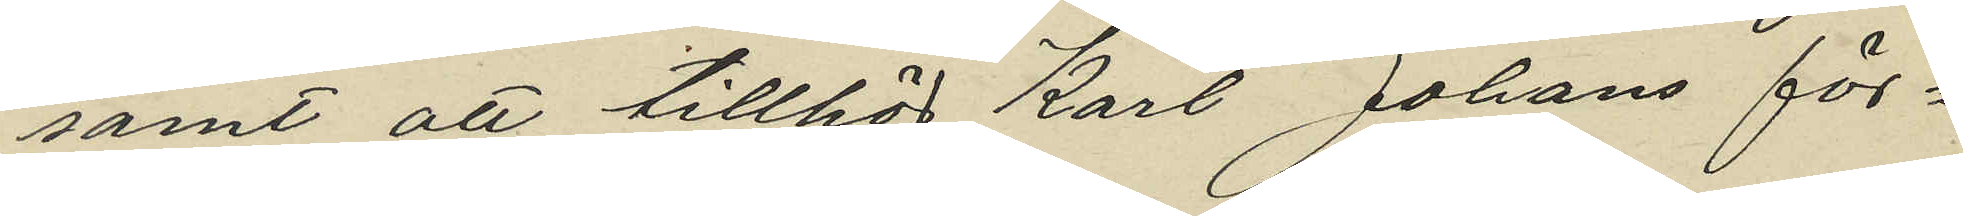samt att tillhör Karl Johans för¬
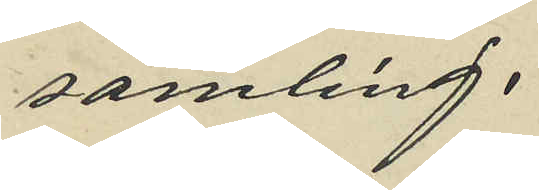samling.
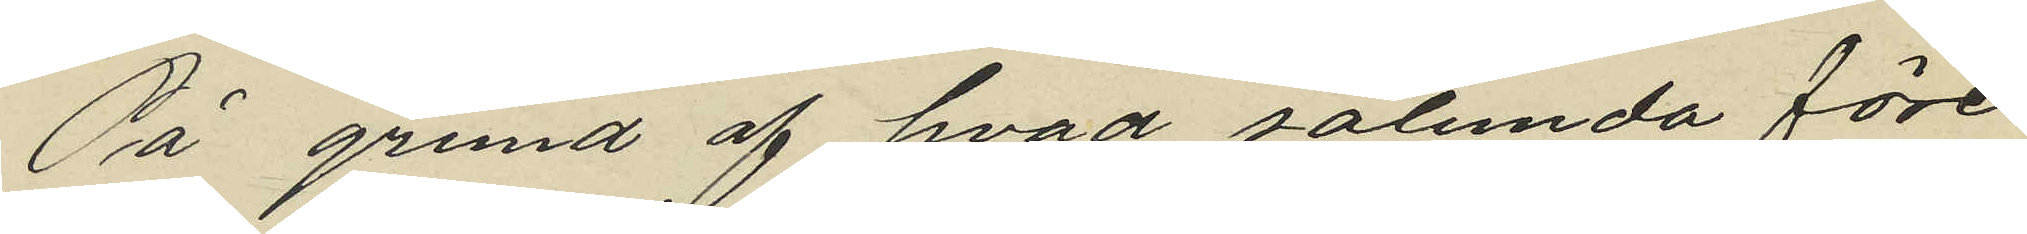På grund af hvad sålunda före¬
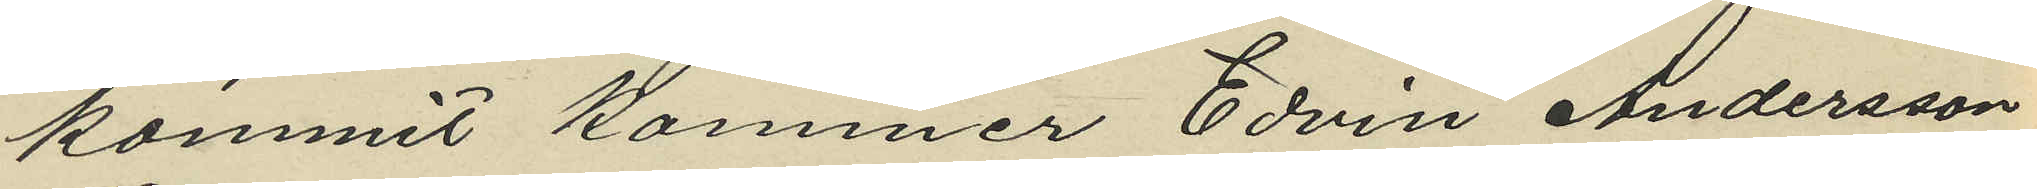kommit kommer Edvin Andersson
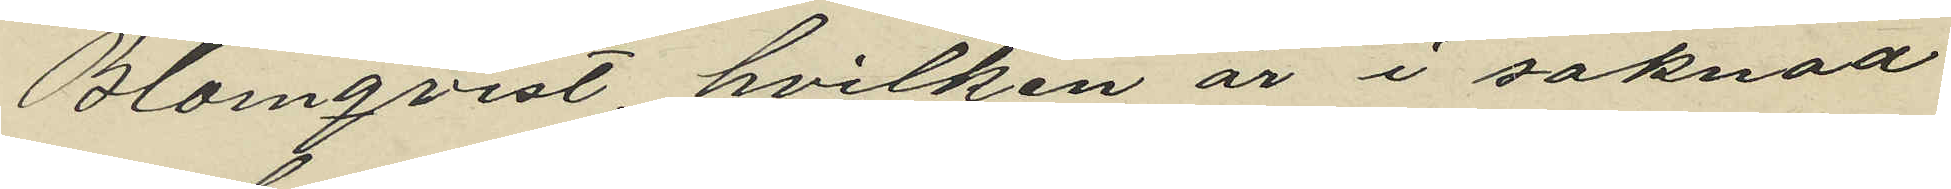Blomqvist, hvilken är i saknad
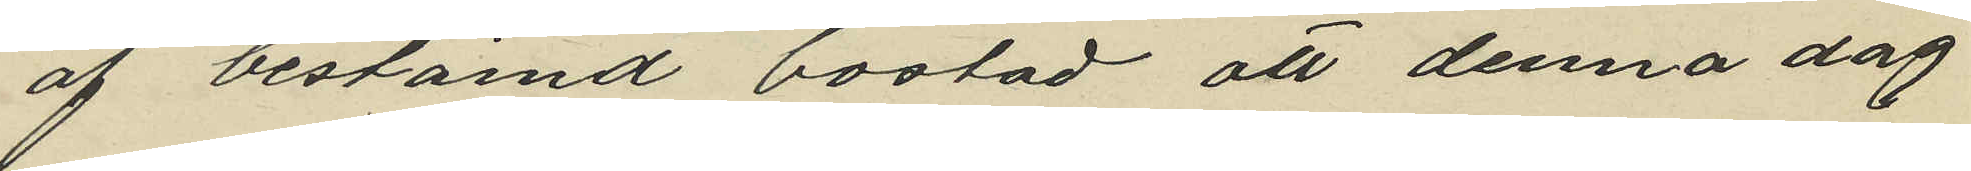af bestämd bostad att denna dag
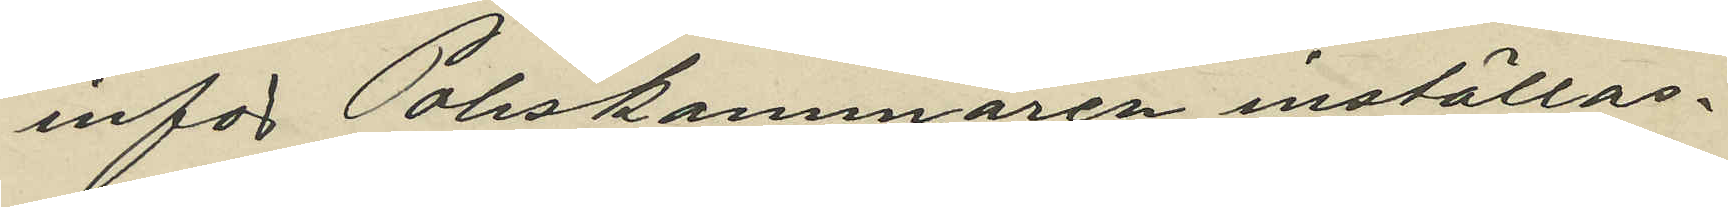inför Poliskammaren inställas.
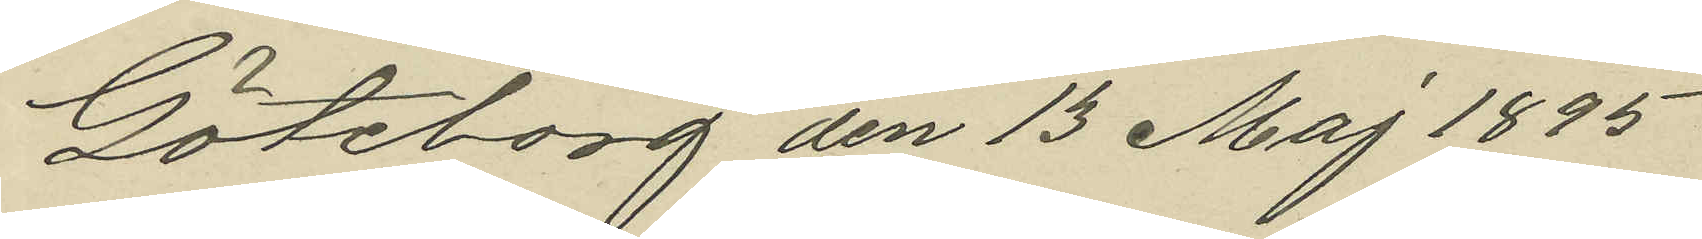Göteborg den 13 Maj 1895
